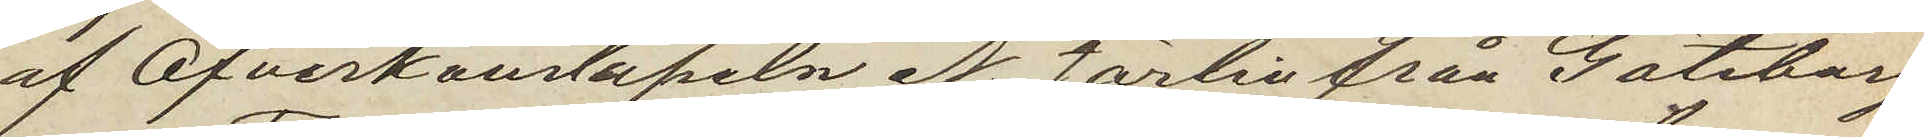af Öfverkonstapeln N. Jörlin från Göteborg
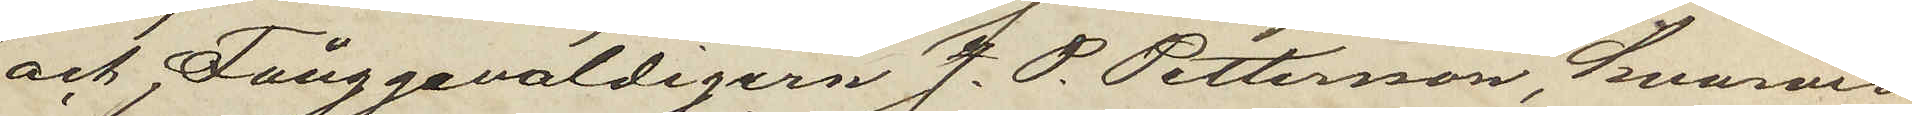och Fånggevaldigern J. P. Petterson, hvarvid
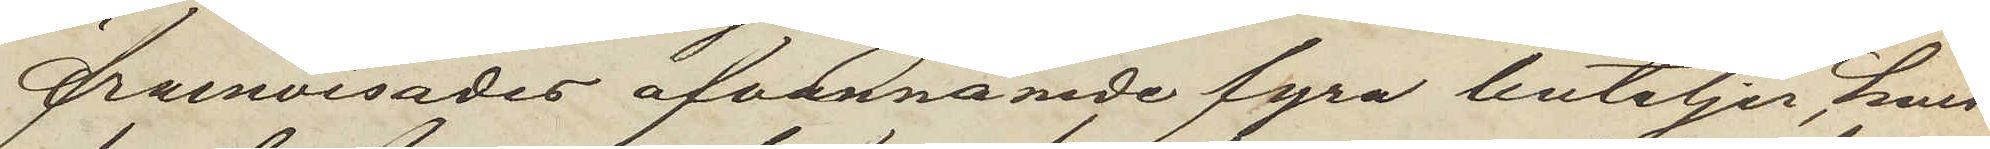framvisades ofvannämde fyra buteljer, hvil¬
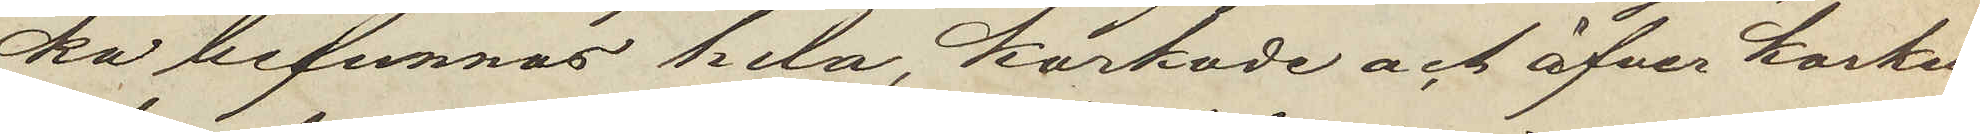ka befunnos hela, korkade och öfver korken
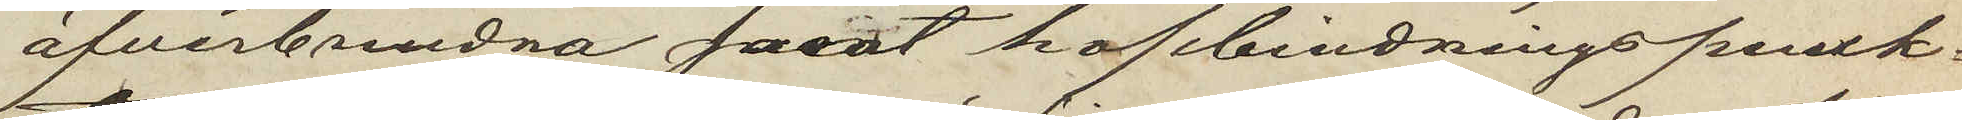öfverbundna samt hopbindningspunk¬
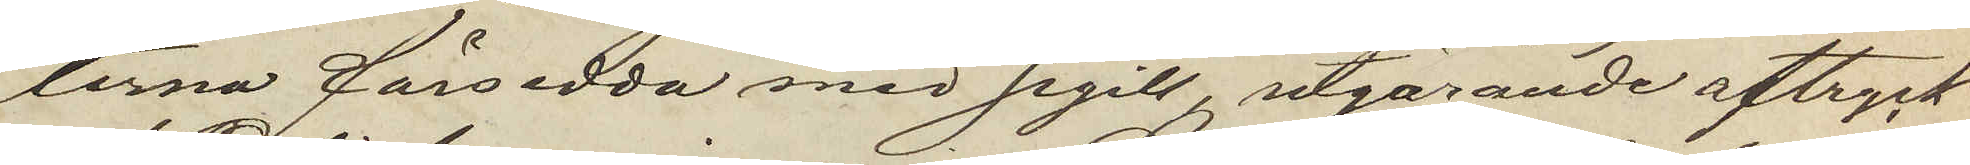terna försedda med sigill, utgörande aftryck
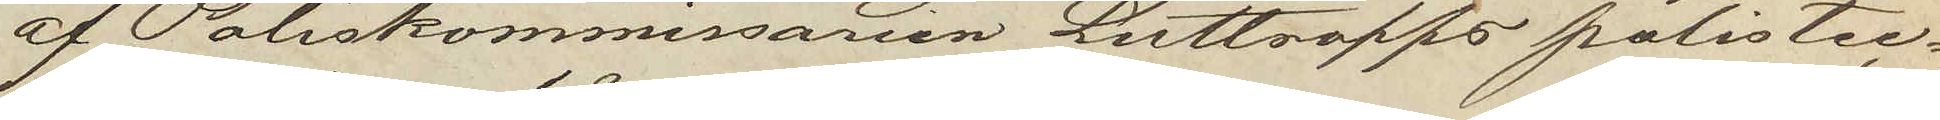af Poliskommissarien Luttropps polistec¬
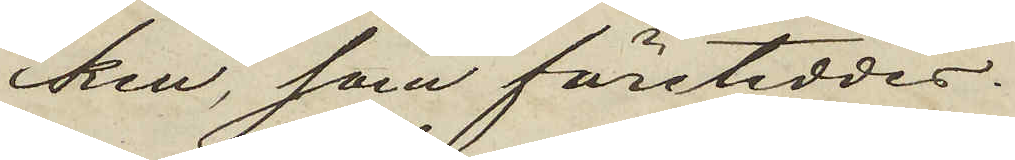ken, som företeddes.
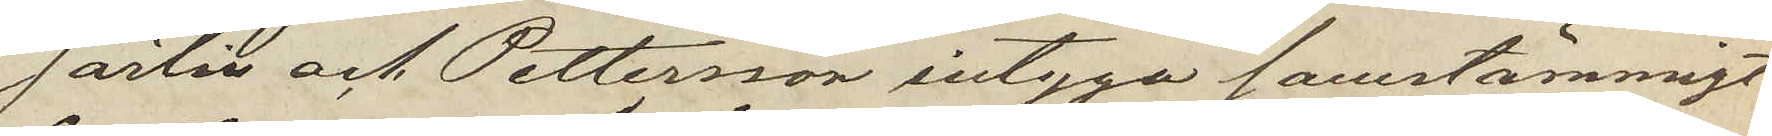Jörlin och Pettersson intyga samstämmigt,
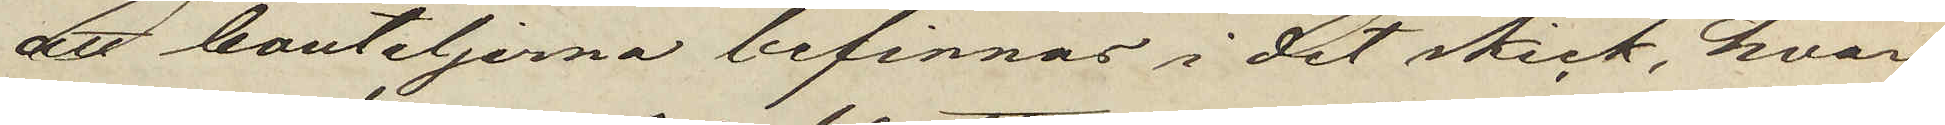att bouteljerna befinnas i det skick, hvari
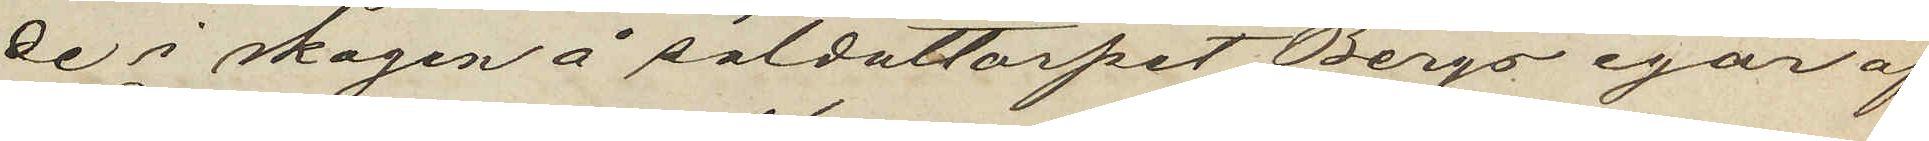de i skogen å soldattorpet Bergs egor af
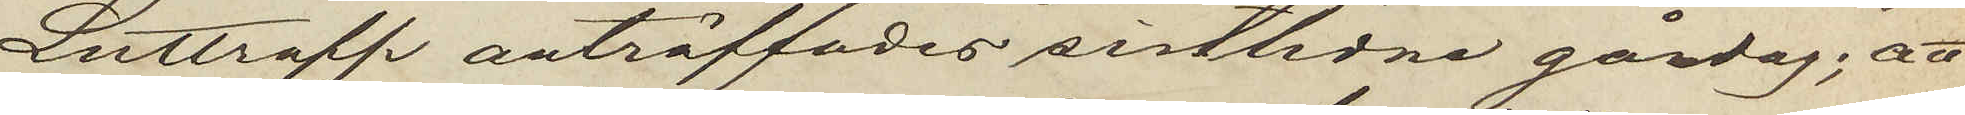Luttropp anträffades sistlidne gårdag; att
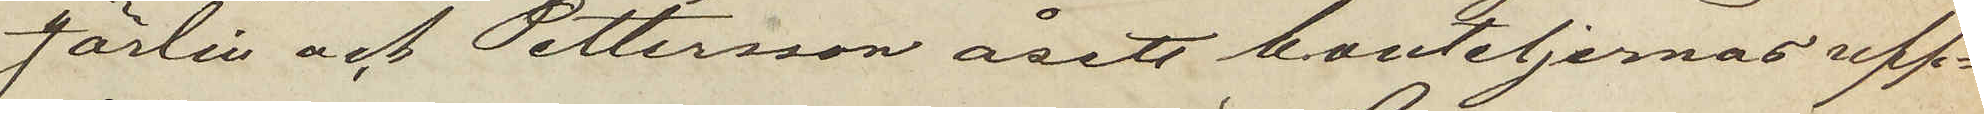Jörlin och Pettersson åsett bouteljernas upp¬
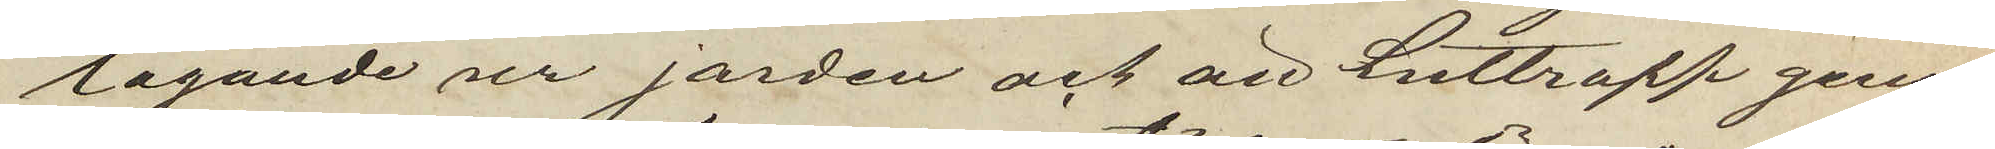tagande ur jorden och att Luttropp genast
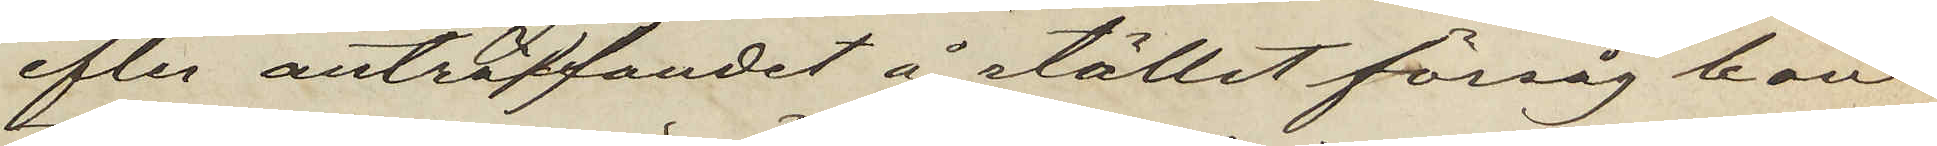efter anträffandet å stället försåg bou¬
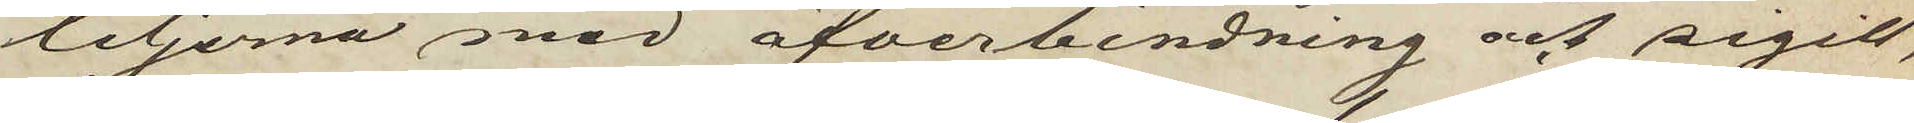teljerna med öfverbindning och sigill,
